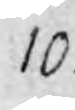10
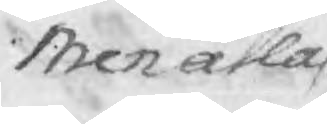men alla
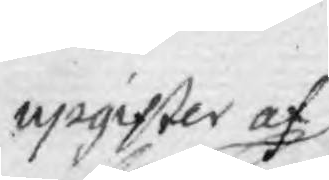upgifter af
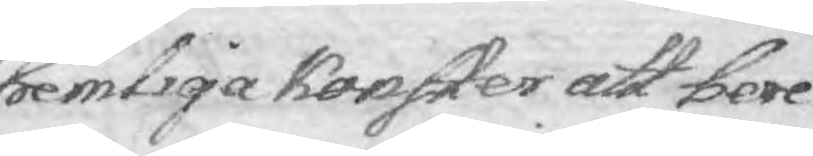hemliga konster att bere¬
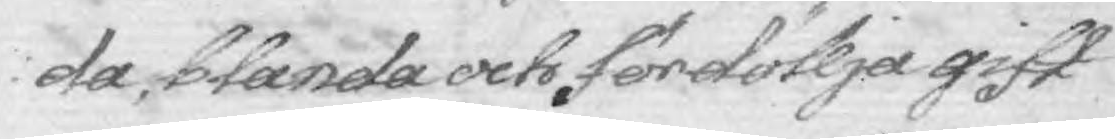da, blanda och fördöllja gift
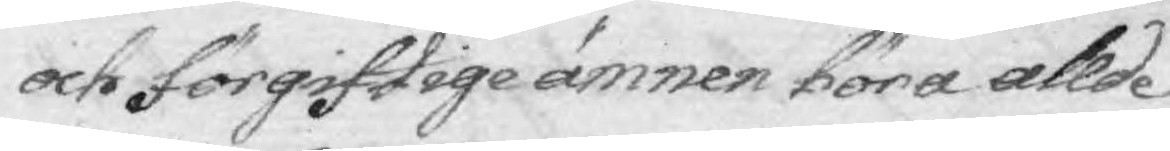och förgiftige ämnen böra allde¬
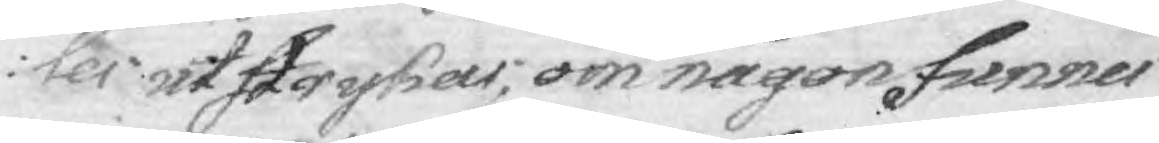ler utstrykas; om någon finner
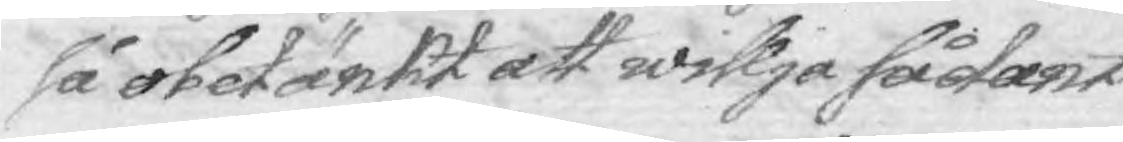så obetänkt att willja sådant
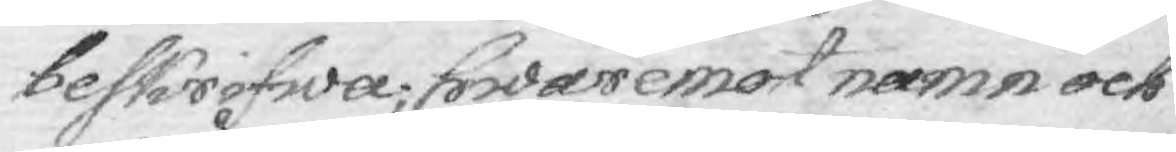beskrifwa, hawremot namn och
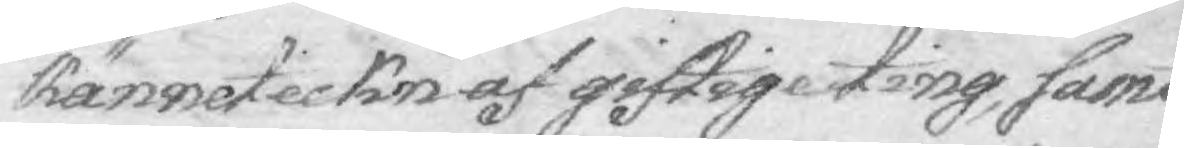känneteckn af giftige ting, samt
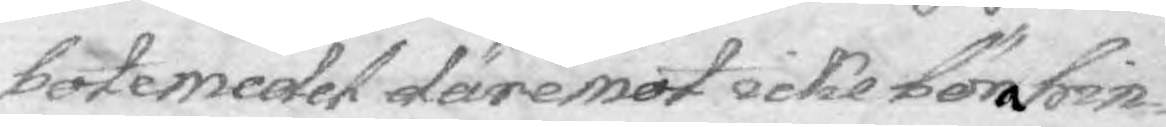botemedel däremot icke böra hin¬
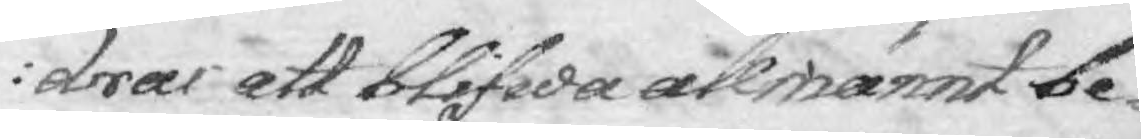dras att blifwa allmännt be¬
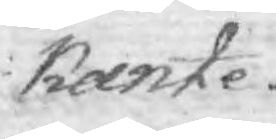kante.
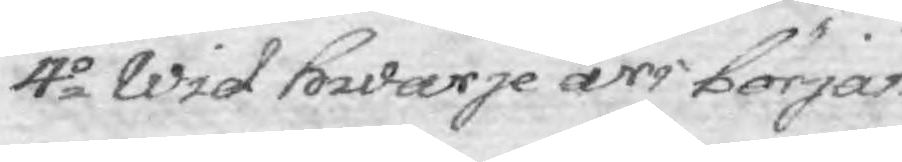4:o Wid hwarje års början
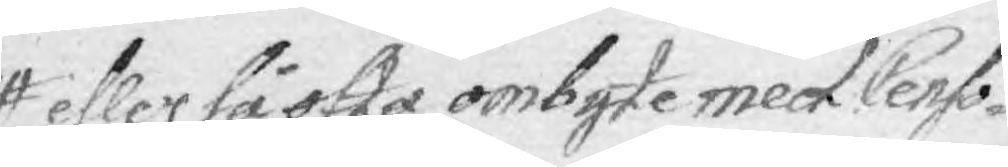eller så ofta ombyte med Censo¬
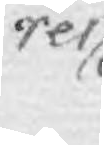res
